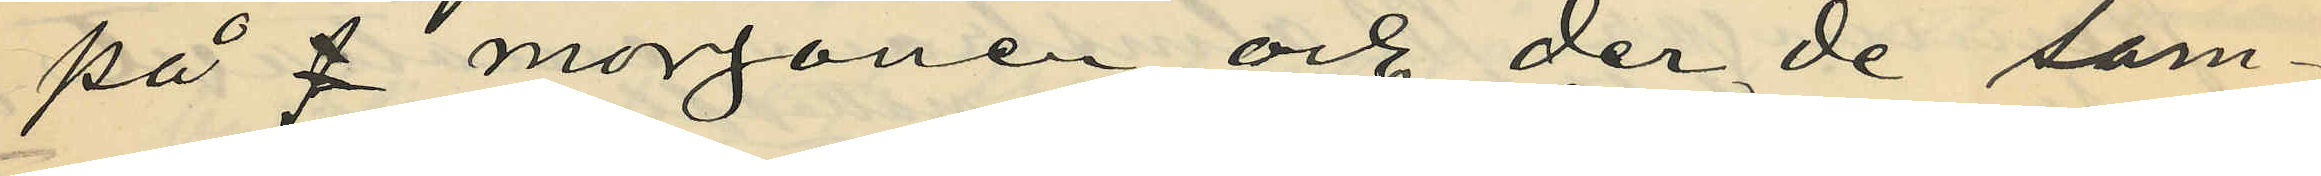på  morgonen och der de sam¬
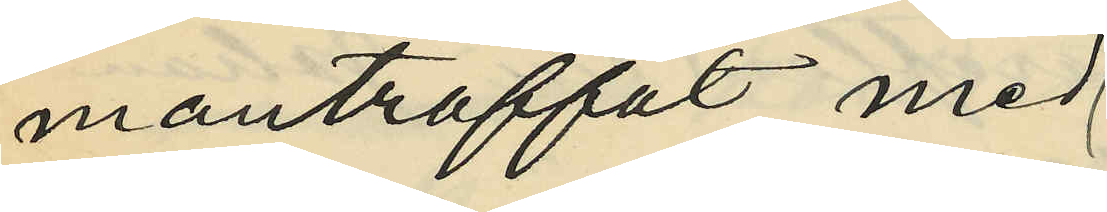manträffat med
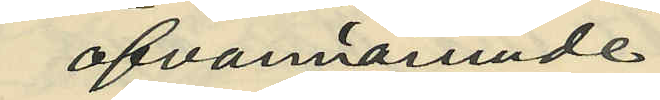ofvannämnde
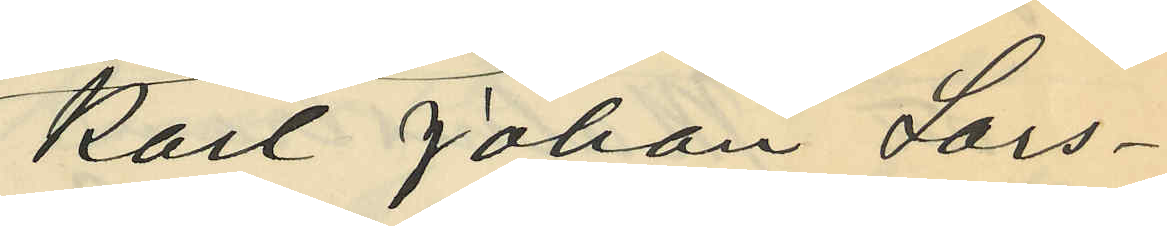Karl Johan Lars¬
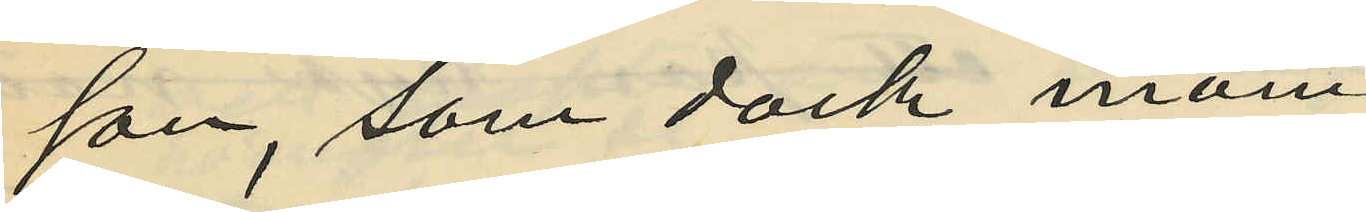son, som dock inom
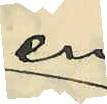en
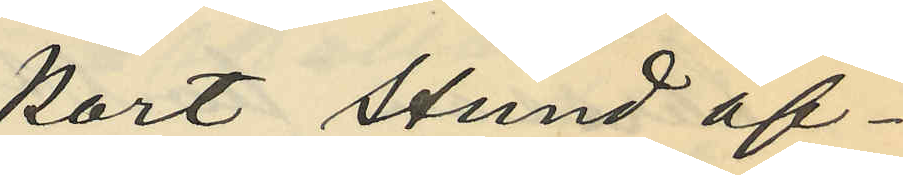kort stund af¬
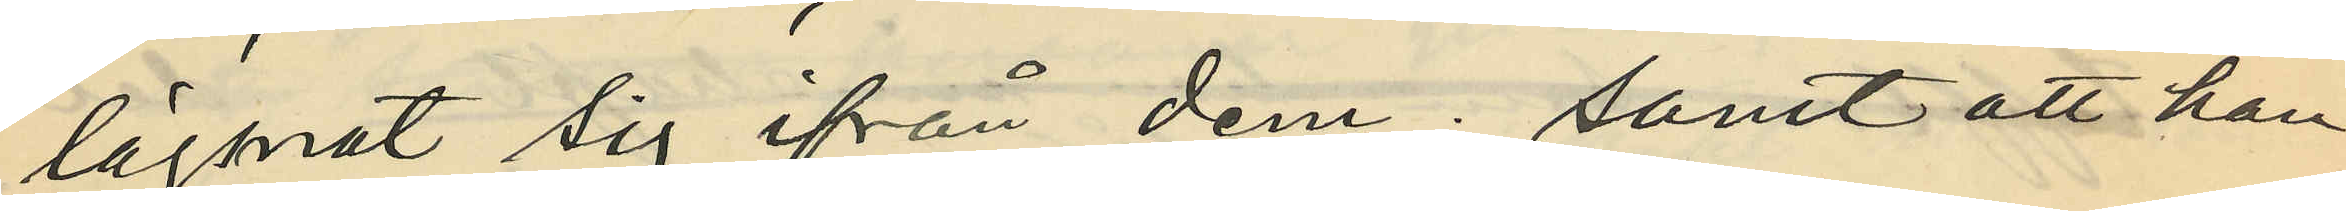lägnat sig ifrån dem; samt att han
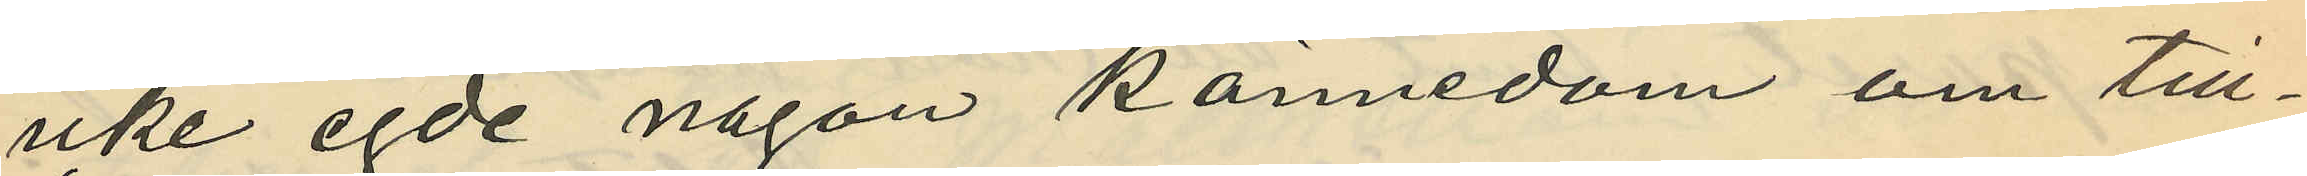icke egde någon kännedom om till¬
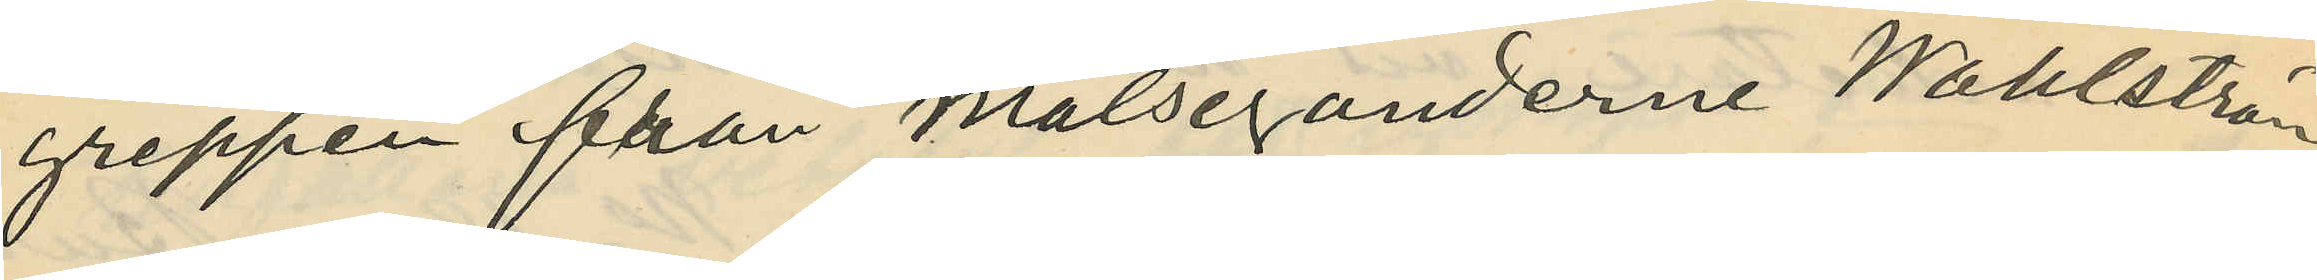greppen från målseganderne Wahlström
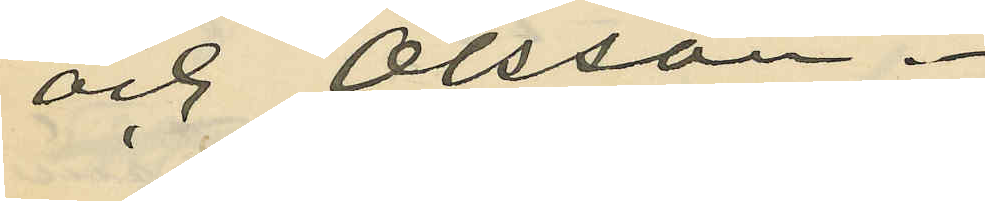och Olsson.
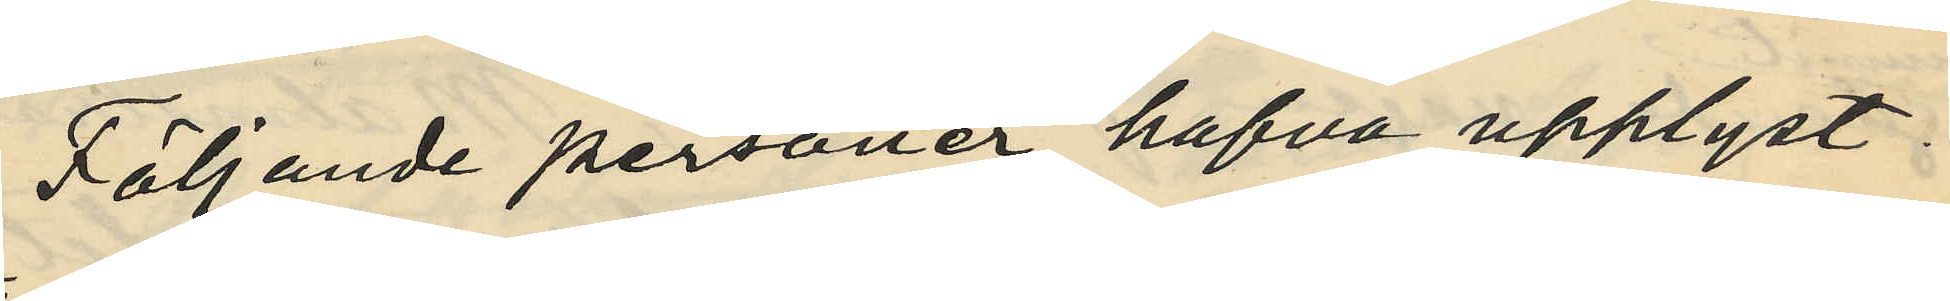Följande personer hafva upplyst:
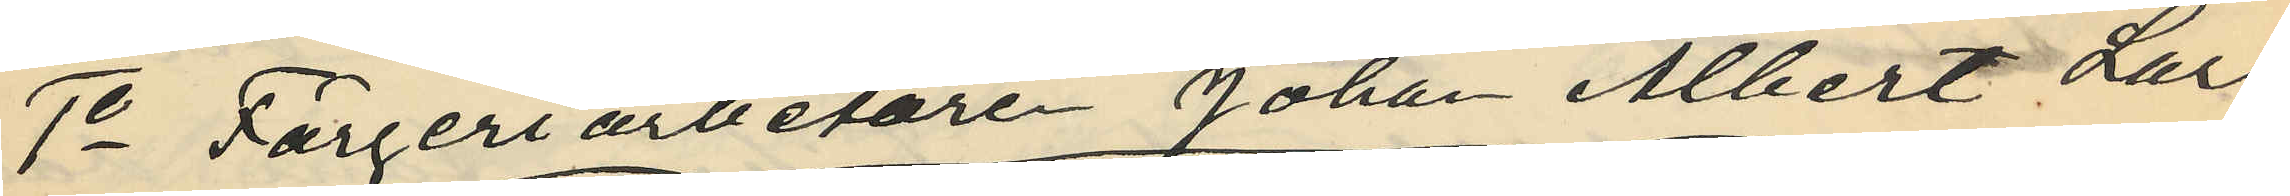1o Färgeriarbetaren Johan Albert Lars¬
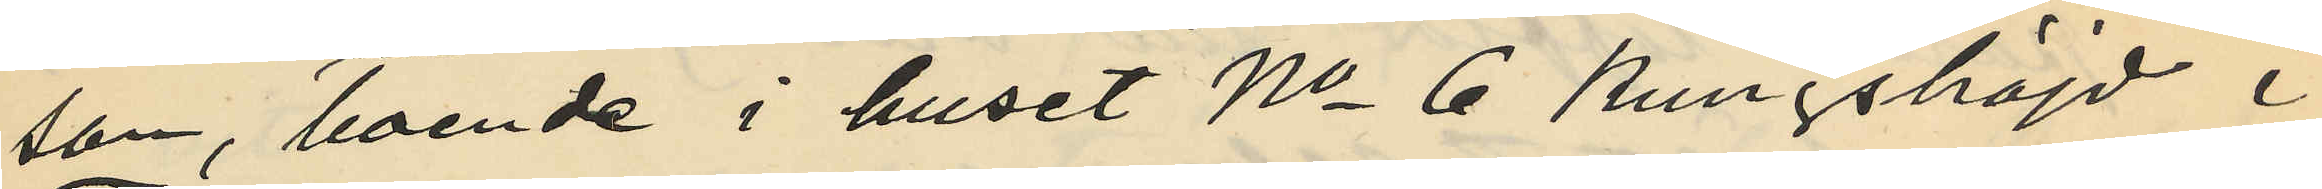son, boende i huset No 6 Kungshöjd i
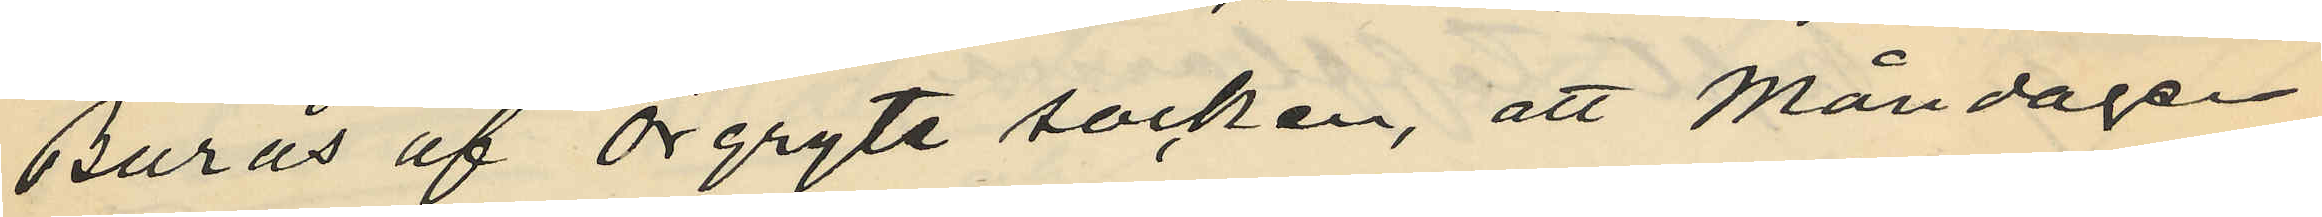Burås af Örgryte socken, att Måndagen
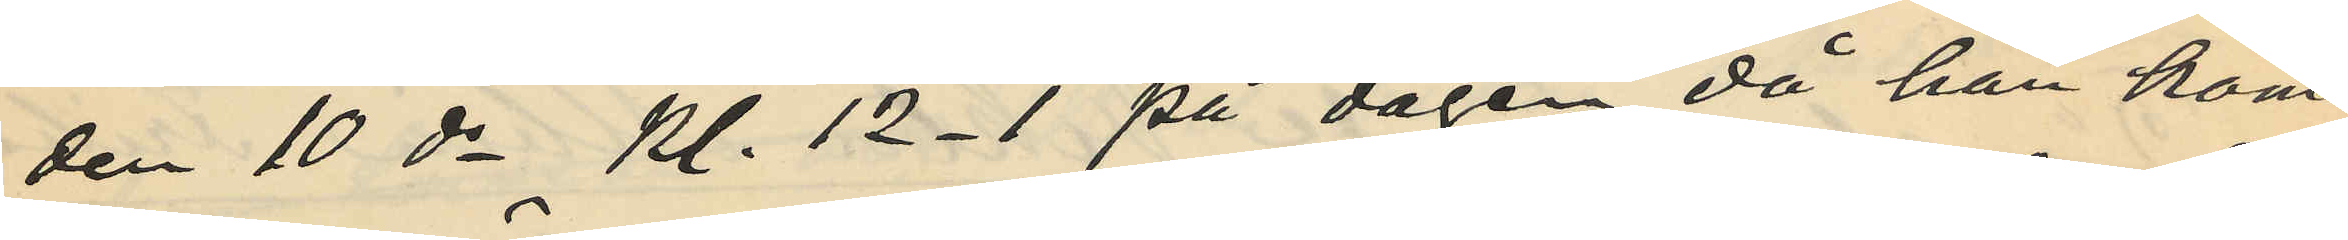den 10 ds kl. 12-1 på dagen, då han kom¬
